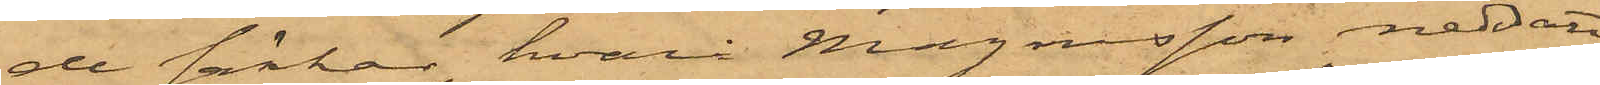de säckar, hvarå Magnusson nedsatt
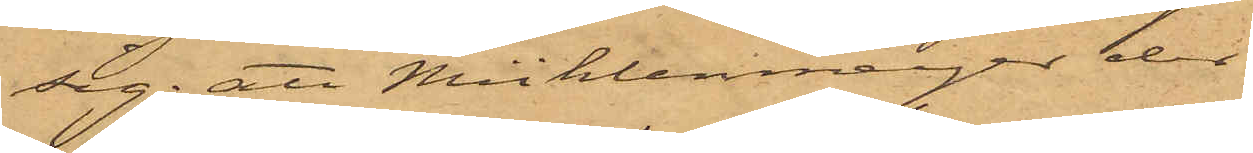sig; att Mühlenmeijer der
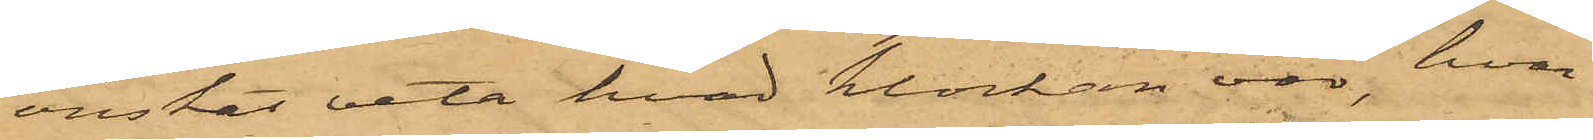önskat veta hvad klockan var, hvar¬
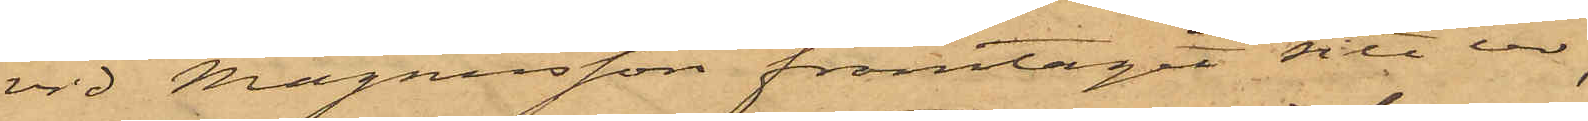vid Magnusson framtagit sitt ur,
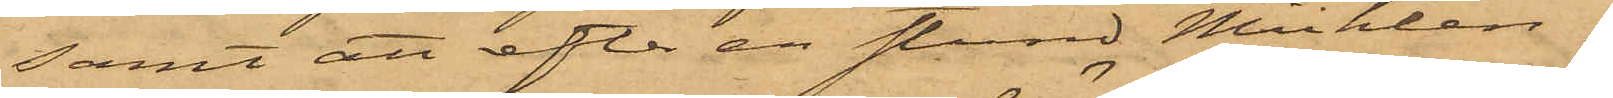samt att efter en stund Mühlen¬
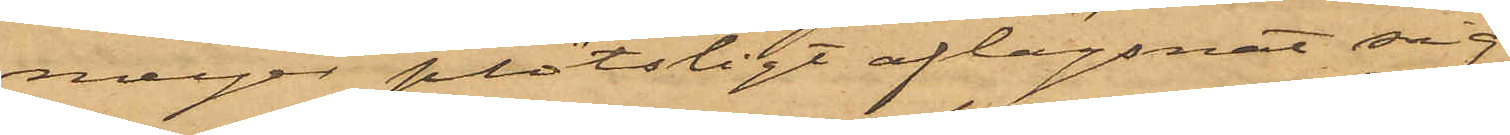meijer plötsligt aflägsnat sig,
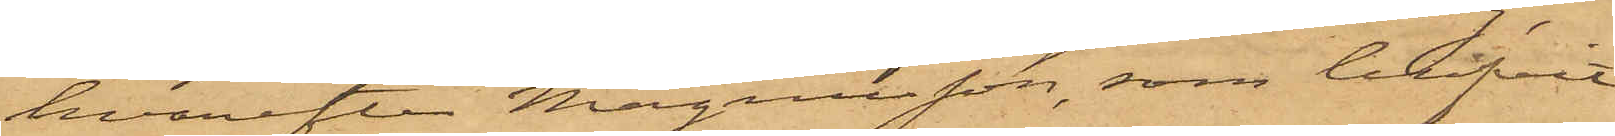hvarefter Magnusson, som blifvit
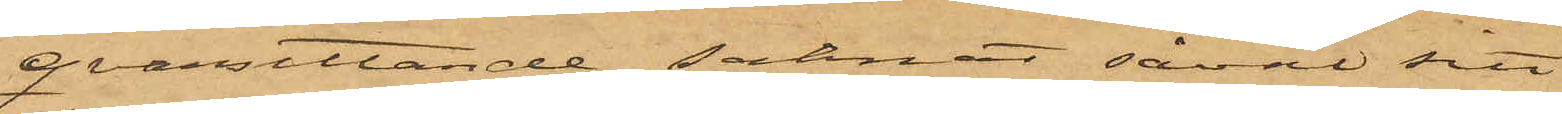qvarsittande, saknat såväl sitt
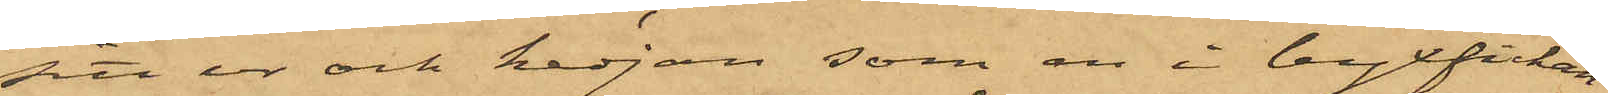sitt ur och kedjan som en i byxfickan
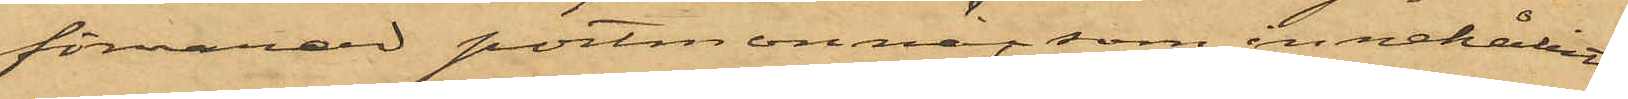förvarad portmonnä, som innehållit
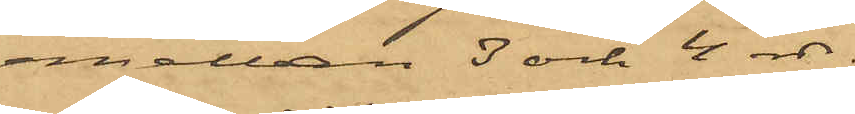emellan 3 och 4 rdr.
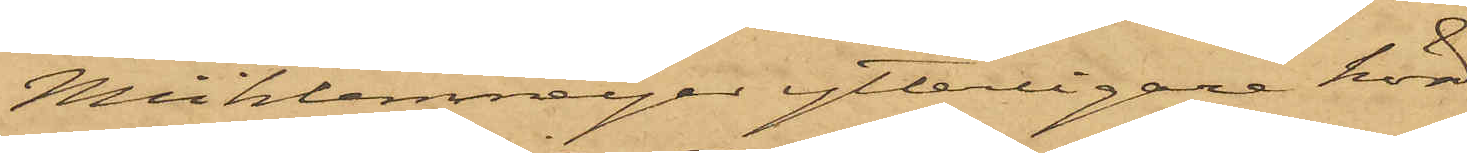Mühlenmeijer ytterligare hörd
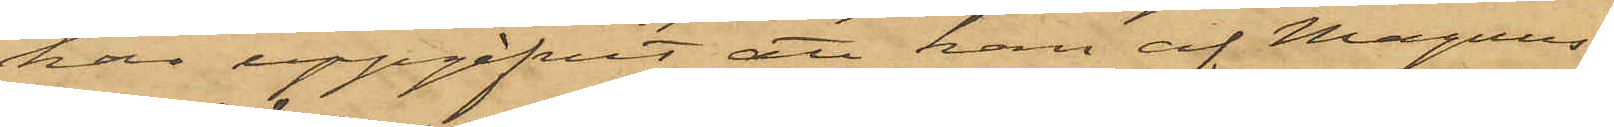har uppgifvit att han af Magnus¬
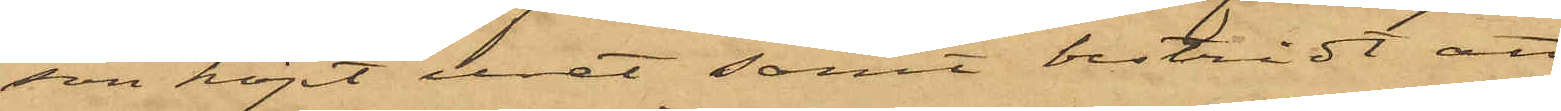son köpt uret samt bestridt att
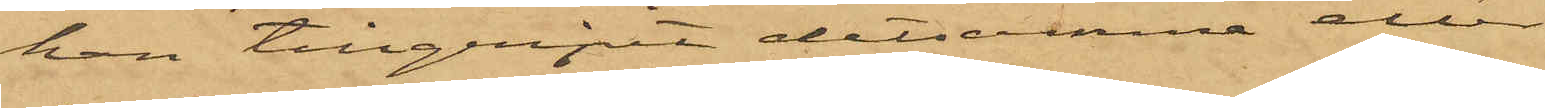han tillgripit detsamma eller
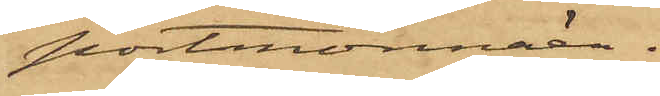portmonnän.
